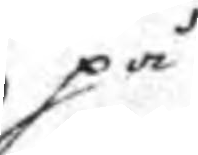på
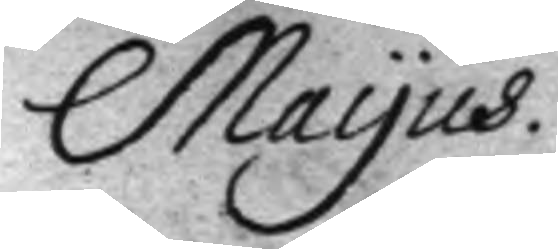Mayus.
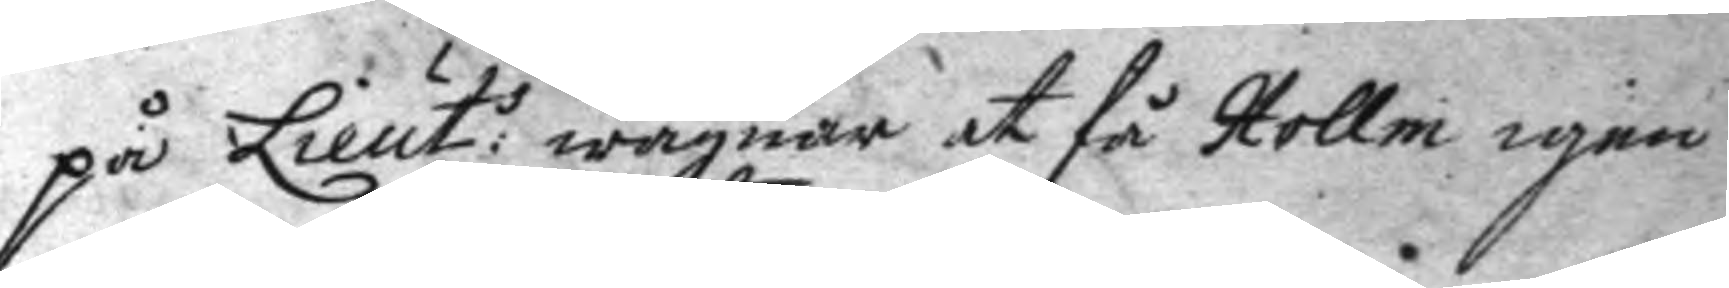på Lieut:s wägnar at få Hollm igen
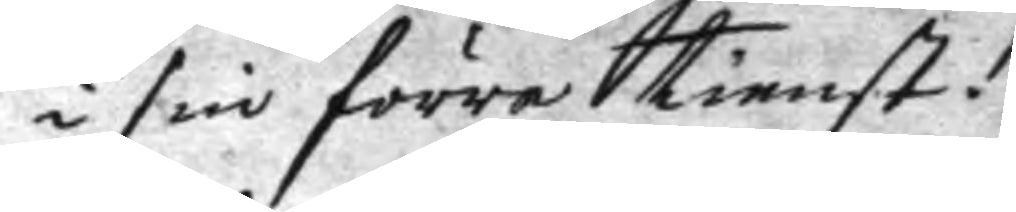i sin förra tienst.
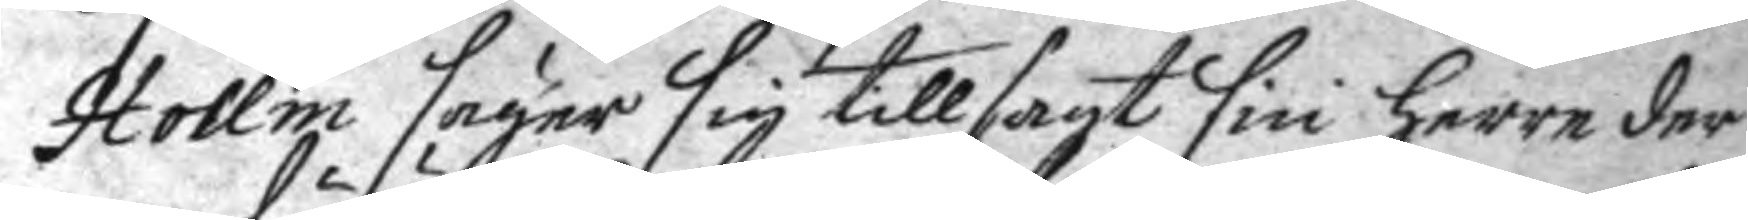Hollm säger sig tillsagt sin herre der
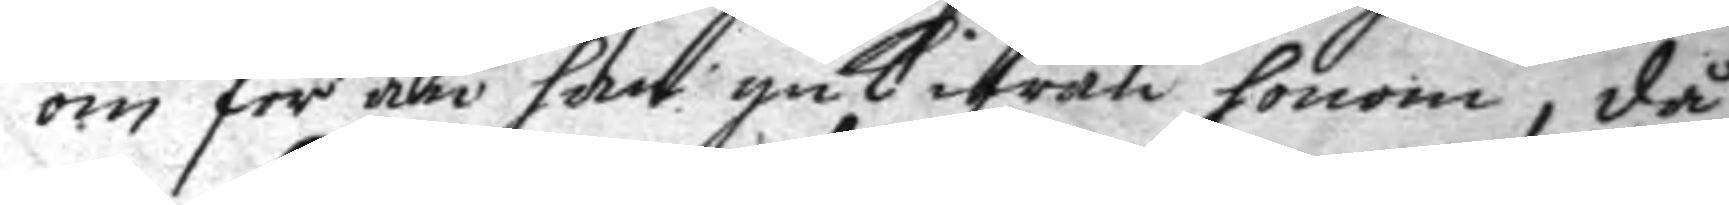om för än han gick ifrån honom, då
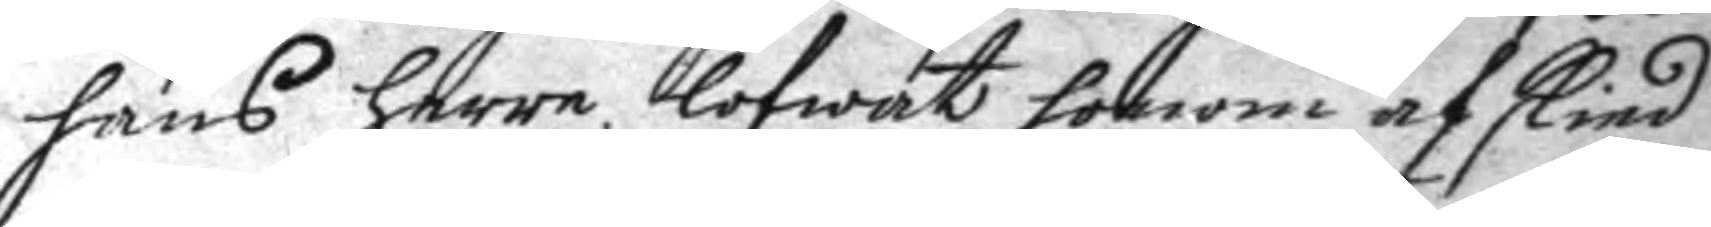hans herre lofwat honom afskied
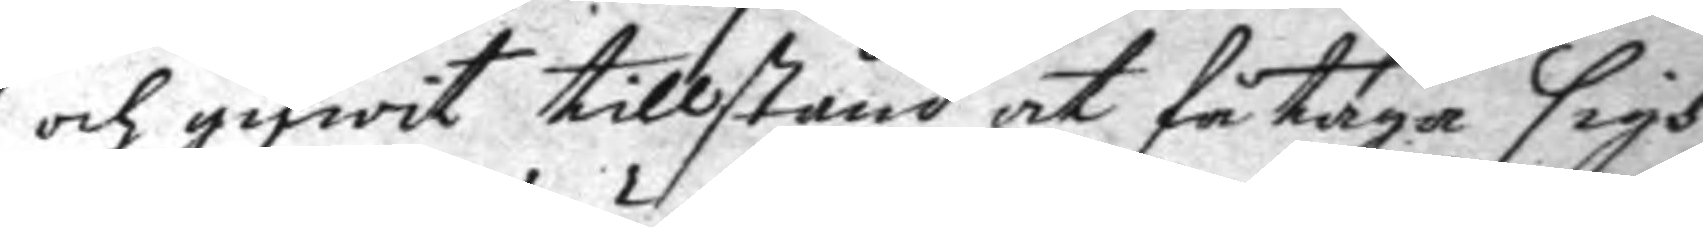och gifwit tillstånd at få taga sigh
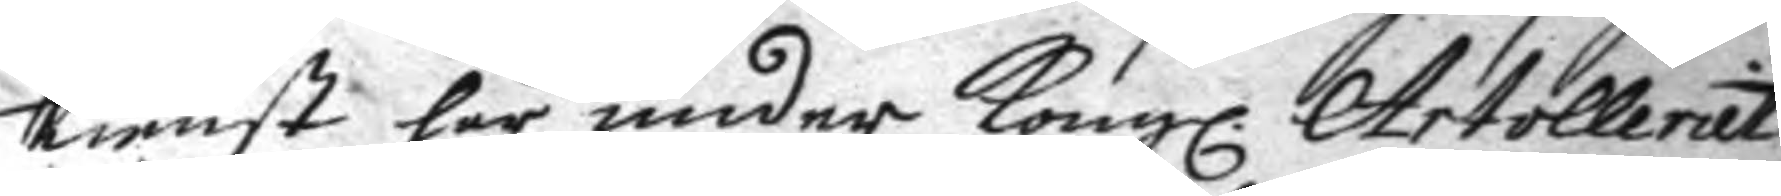tienst här under Kongl. Artolleriet,
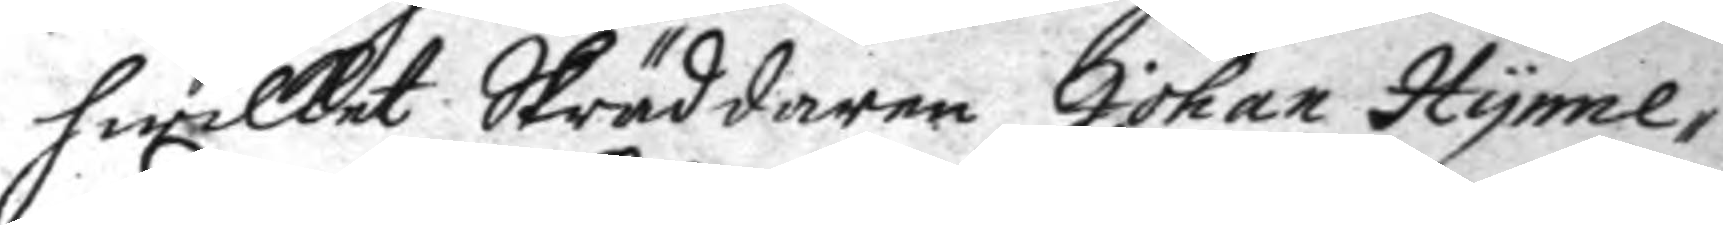hwilket Skräddaren Johan Hynne¬
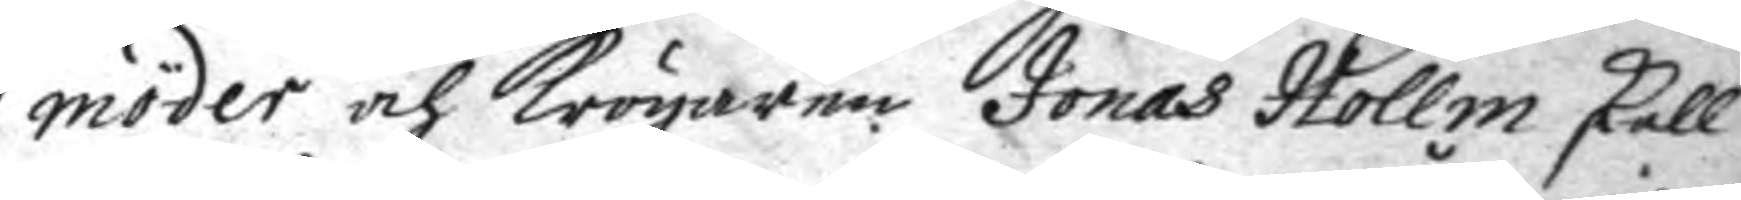möder och krögaren Jonas Hollm skall
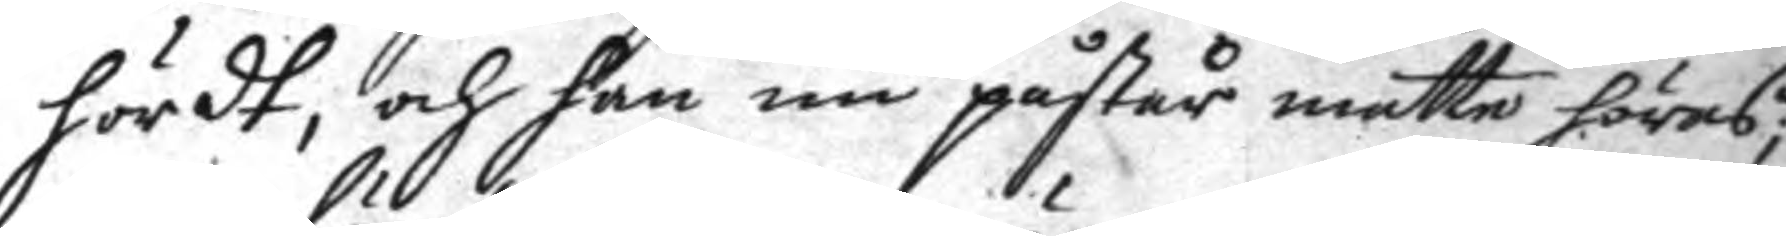hördt, och han nu påstår måtte höras;
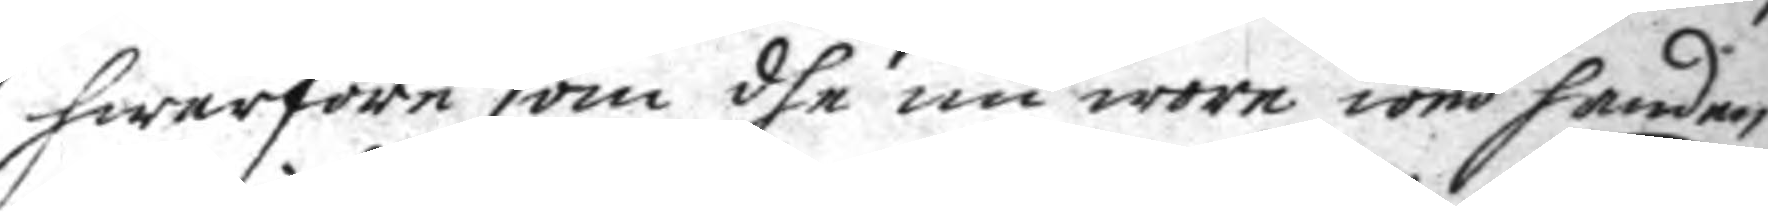hwarföre som dhe nu wore wed handen
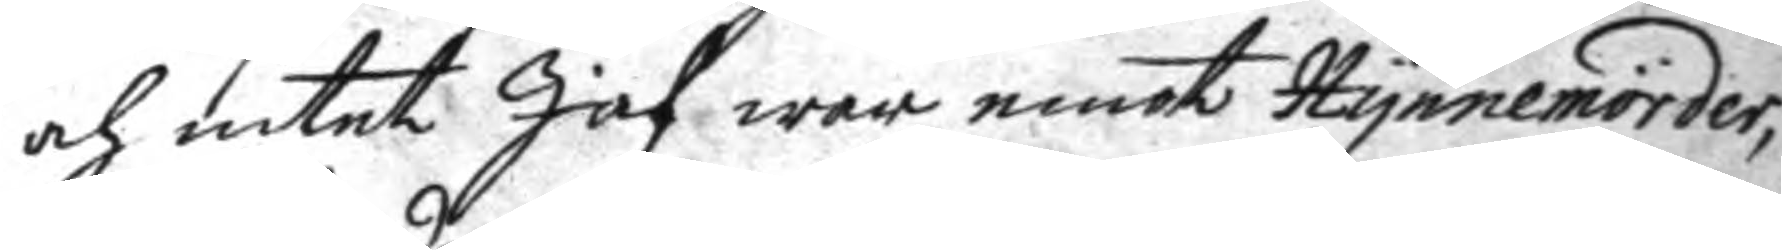och intet Jäf war emot Nynnemörder,
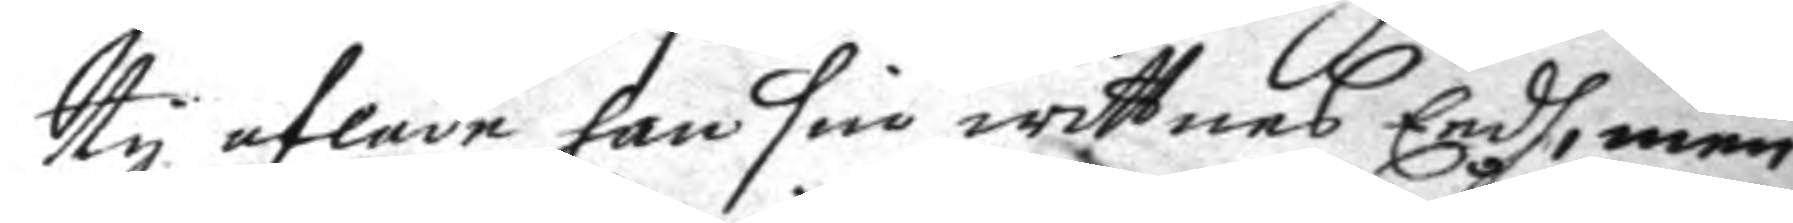ty aflade han sin wittnes eedh, men
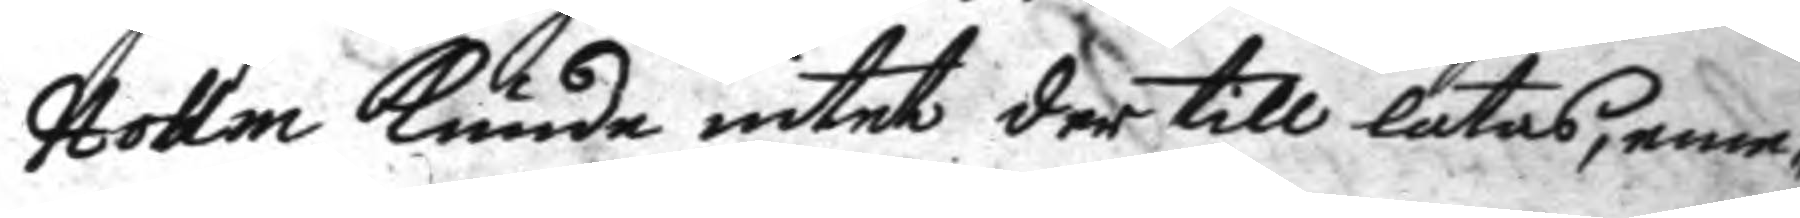Hollm kunde intet der till låtas, eme¬
